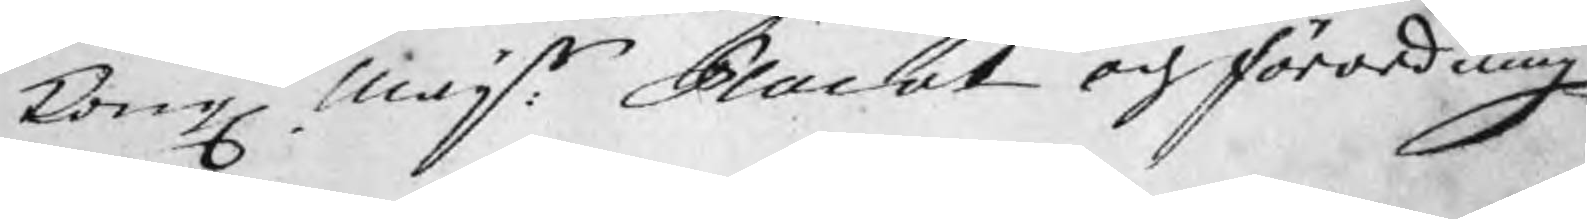Kongl. Majts: Placat och förordning
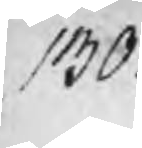130
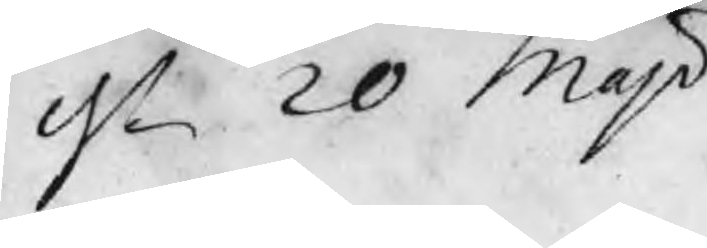dn 20 Maji
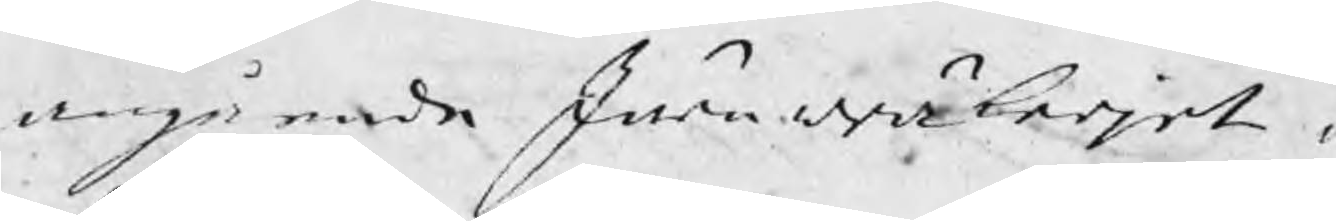angående Järnwräkerjet o
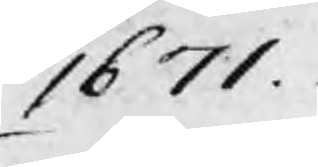1671.
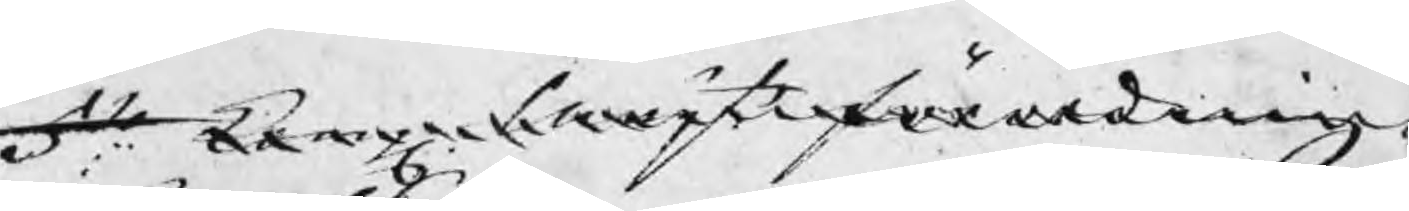5to: Kongl Majts förordning
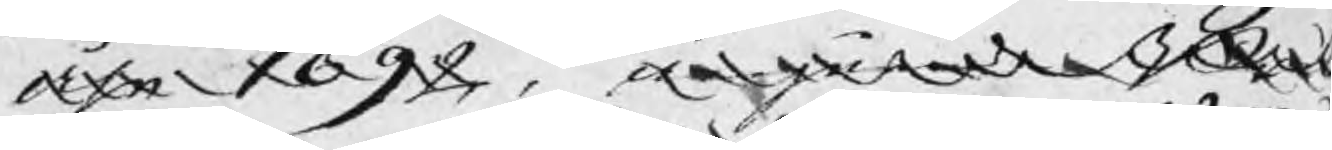åhr 1692, angående Bru
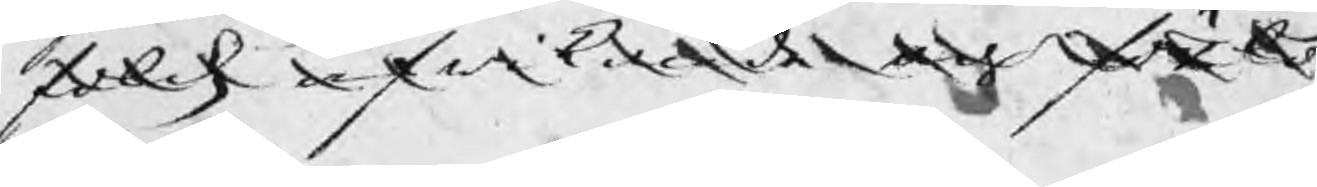folckz afwikande förlö
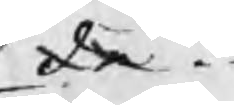de.
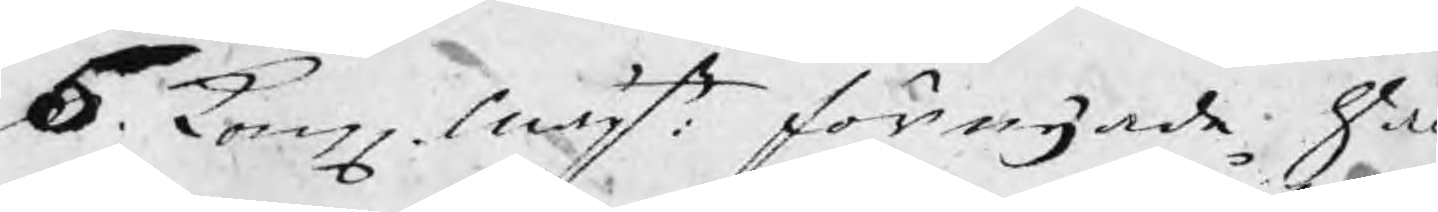5. Kongl Majts förnyade Ha
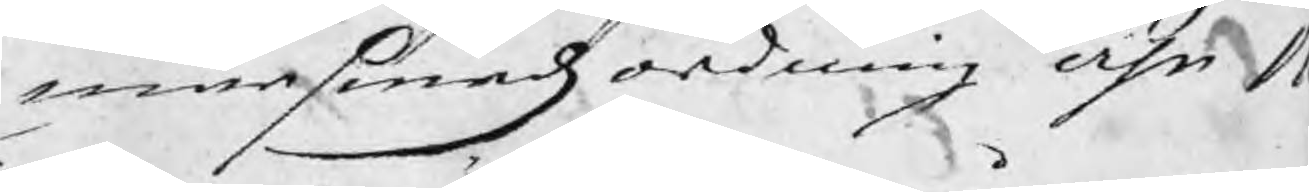marsmedzordning åhr 1
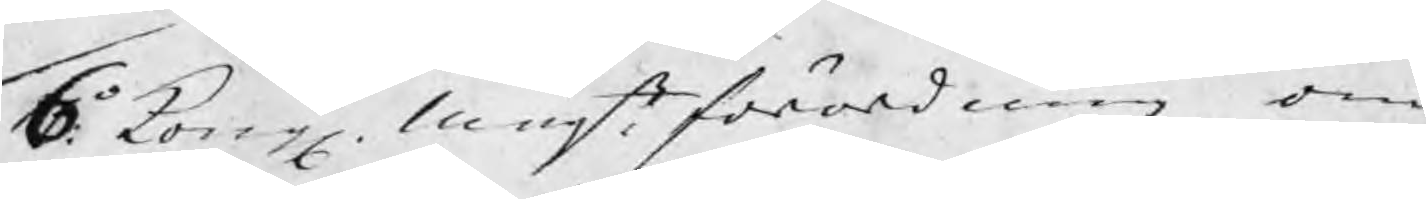6o Kongl. Majts förordning om
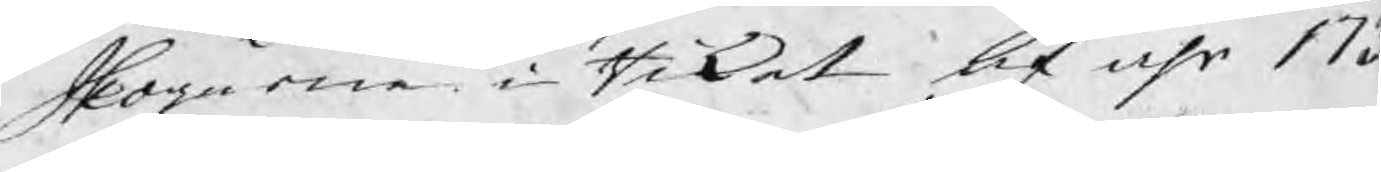Skogarne i Riket af åhr 173
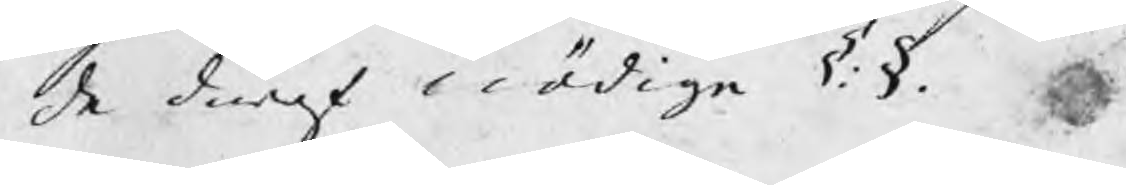de däraf nödiga §.§.
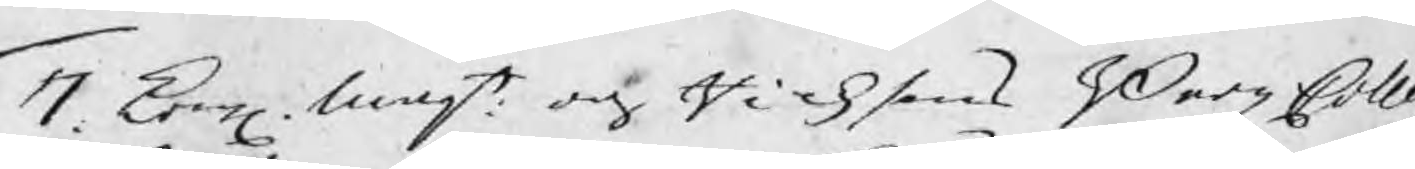7. Kongl Majt och Ricksens BergzColle
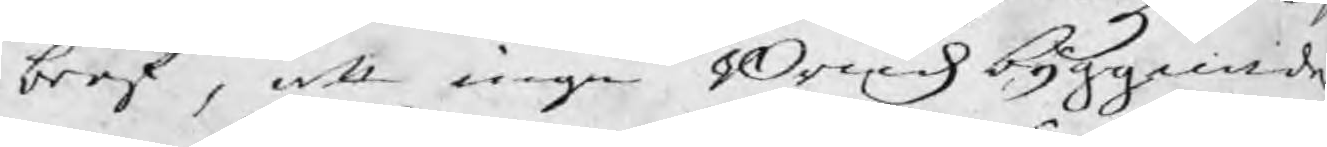bref, att inga Bruksbyggande
